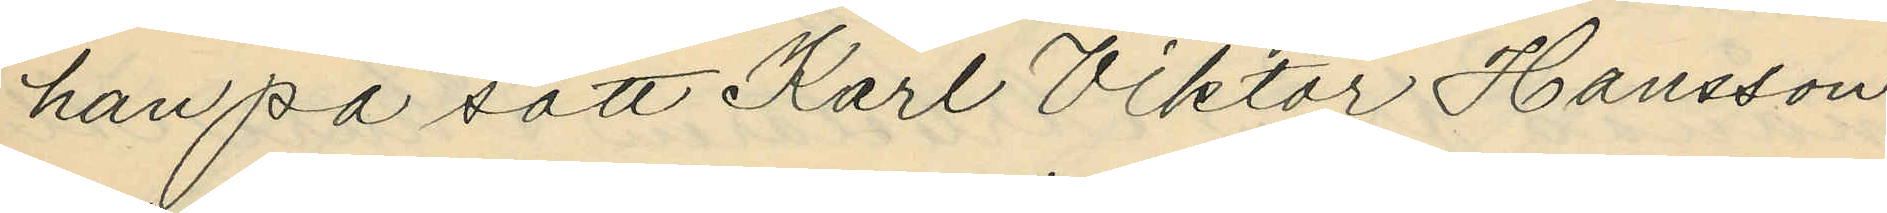han på sätt Karl Viktor Hansson
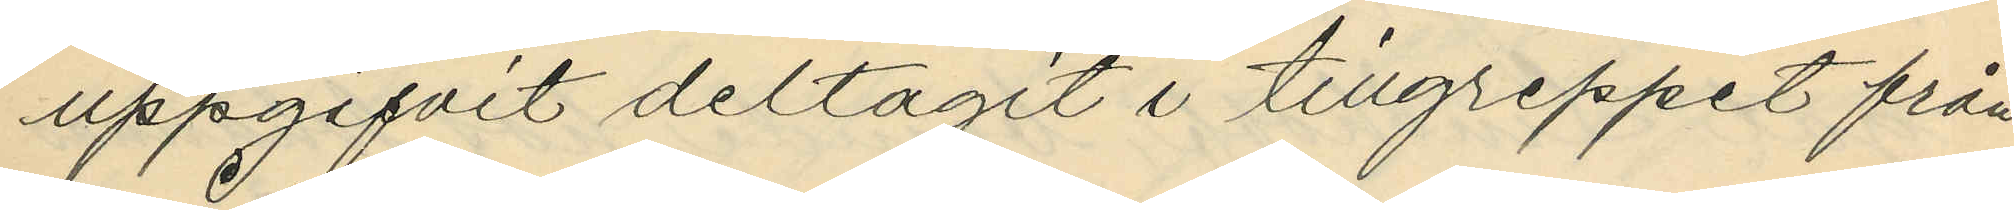uppgifvit deltagit i tillgreppet från
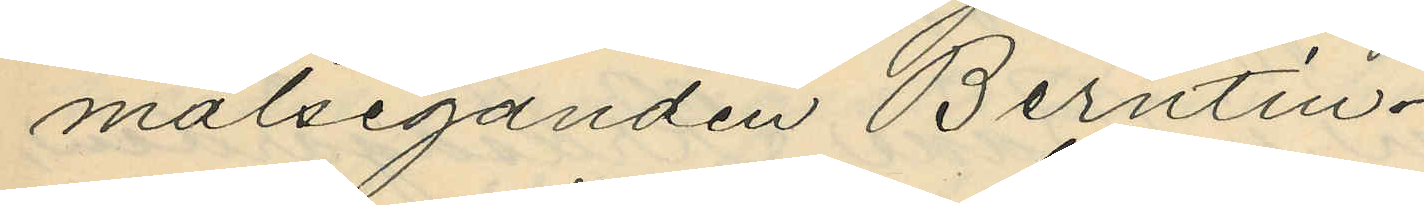målseganden Berntin.
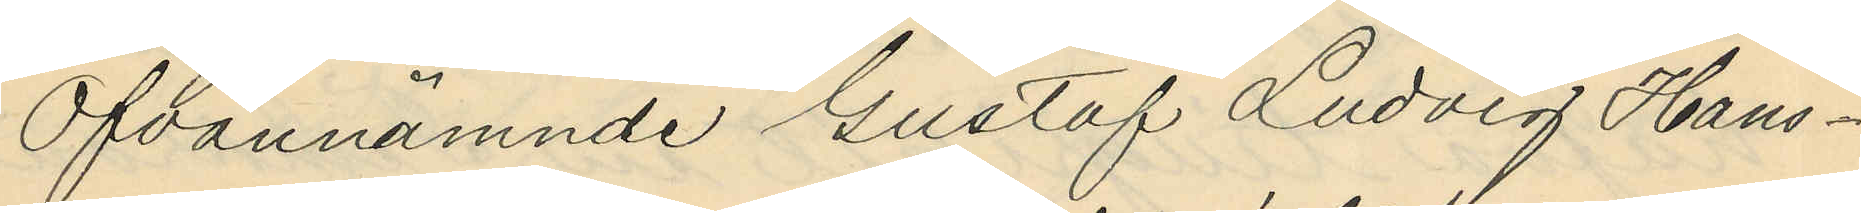Ofvannämnde Gustaf Ludvig Hans¬
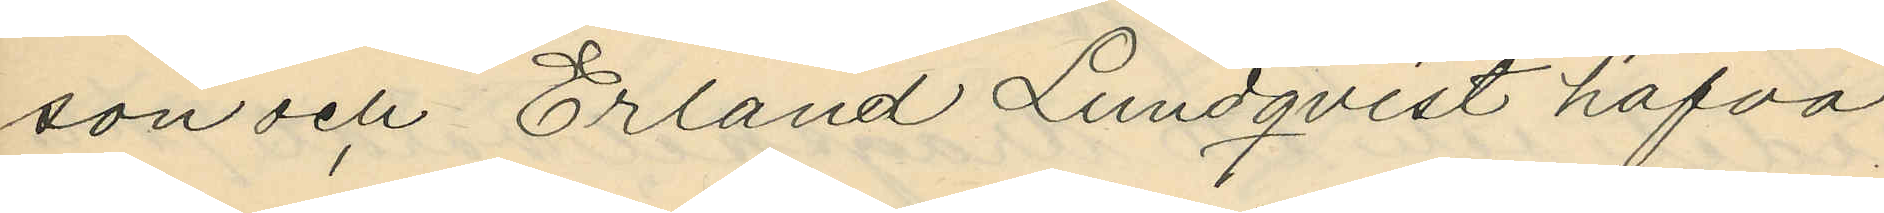son och Erland Lundqvist hafva
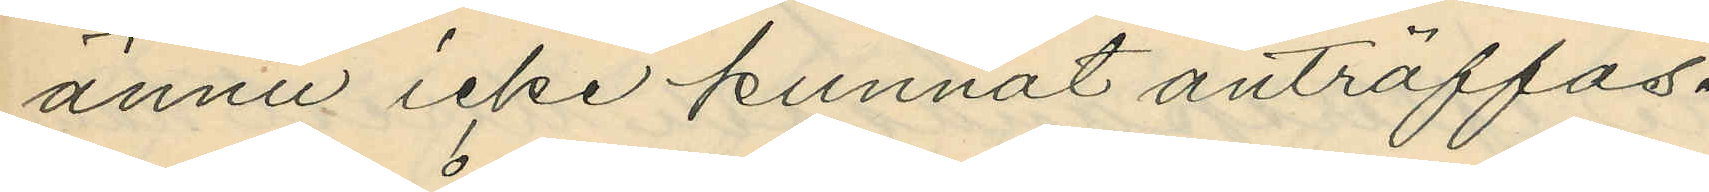ännu icke kunnat anträffas.
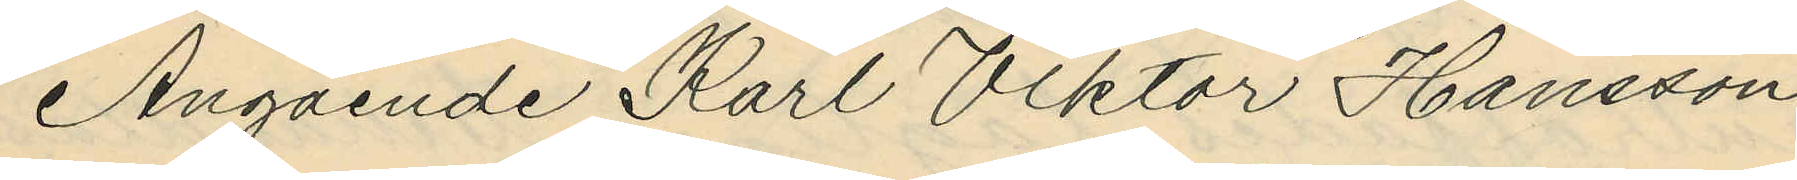Angående Karl Viktor Hansson
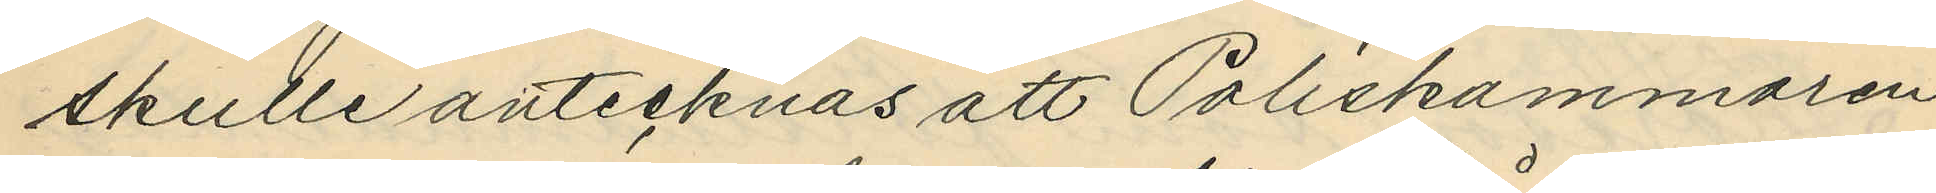skulle antecknas att Poliskammaren
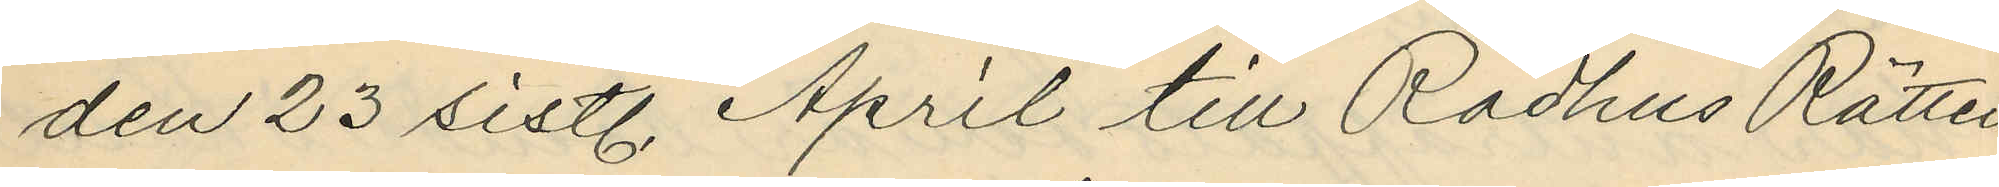den 23 sistl. April till Rådhus Rätten
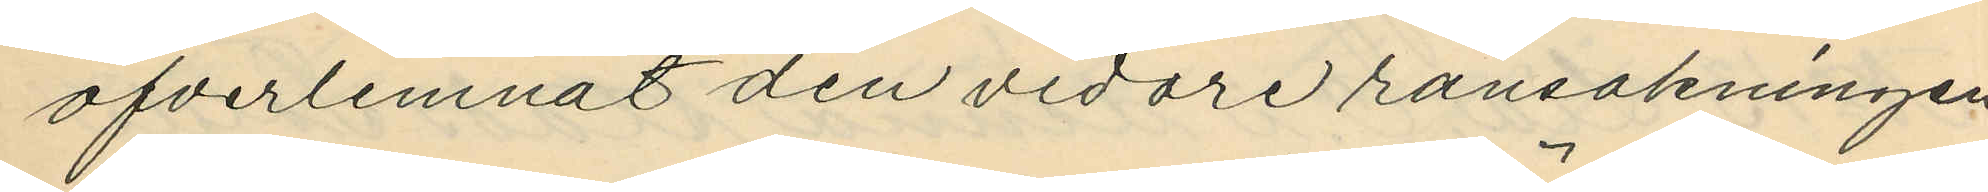öfverlemnat den vidare ransakningen
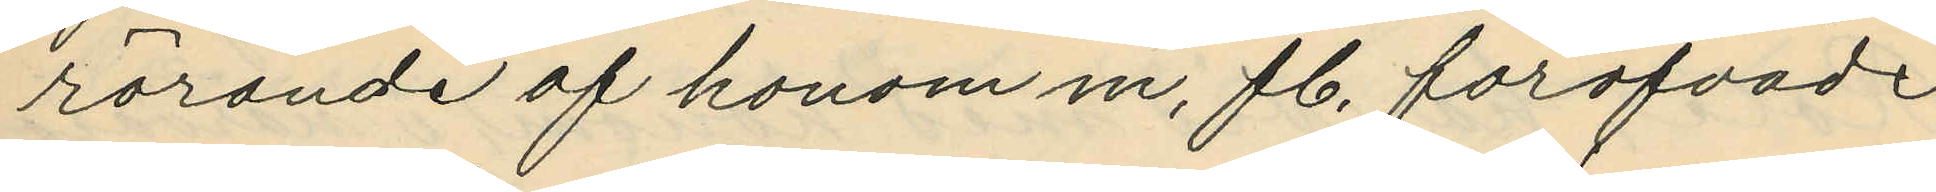rörande af honom m, fl. föröfvade
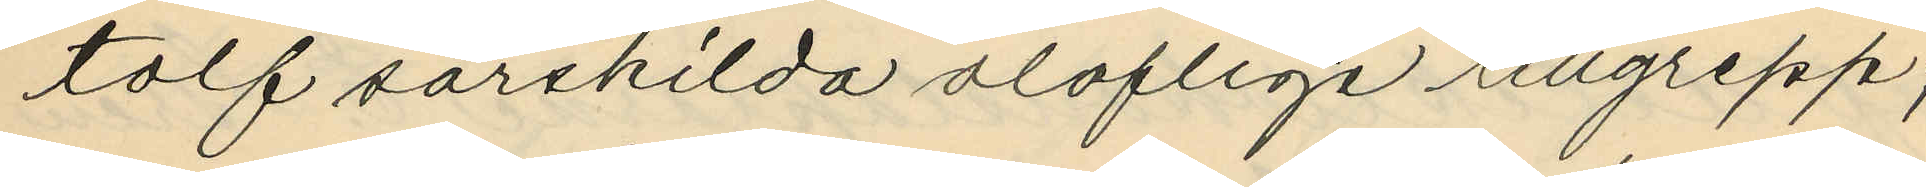tolf särskilda oloflige tillgrepp;
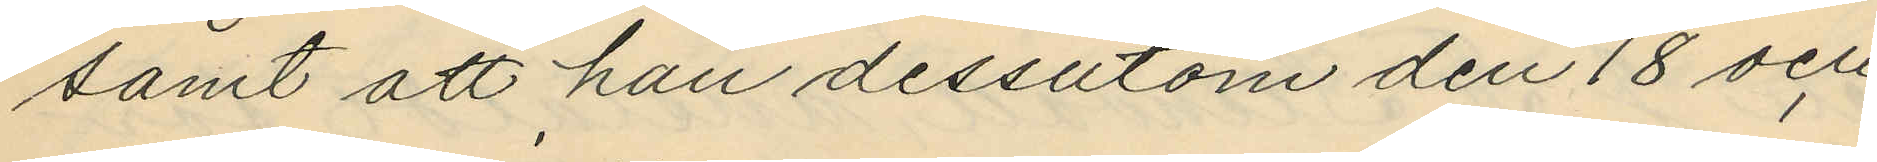samt att han dessutom den 18 och
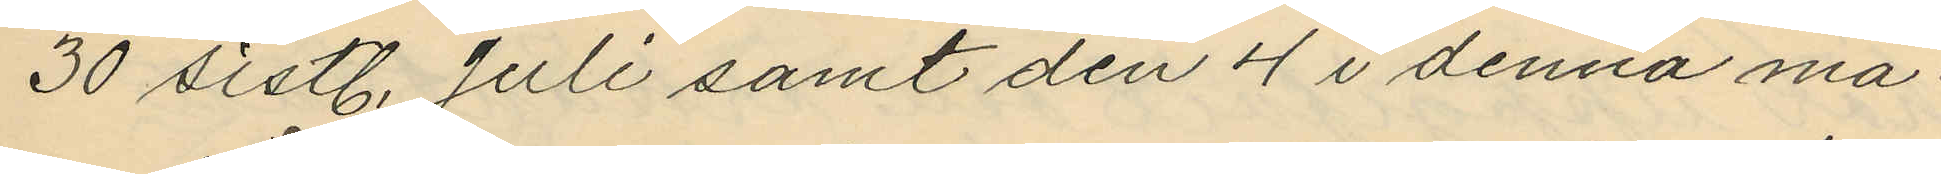30 sistl. Juli samt den 4 i denna må¬
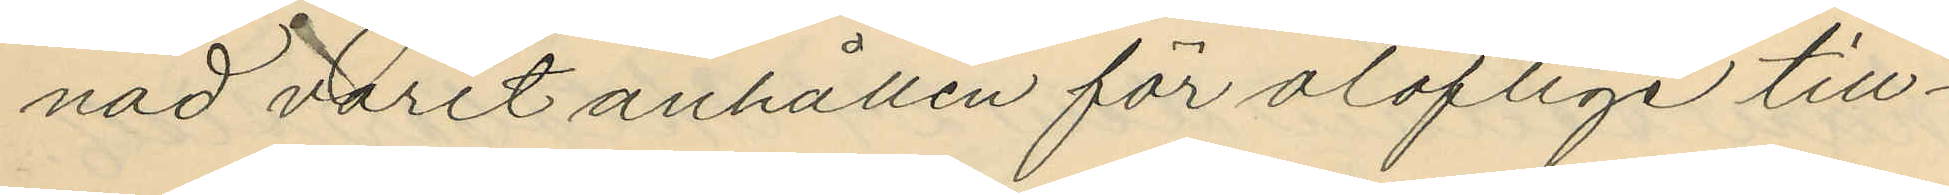nad varit anhållen för oloflige till¬
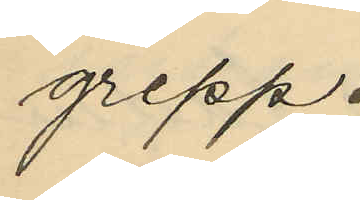grepp.
